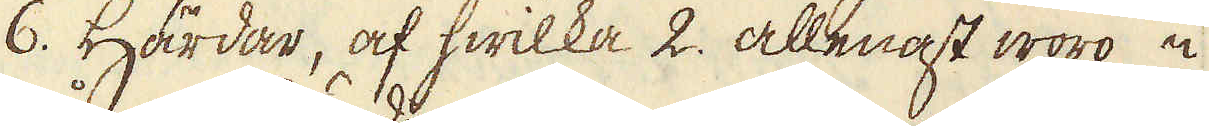6. Härdar, af hwilka 2. allenast woro i
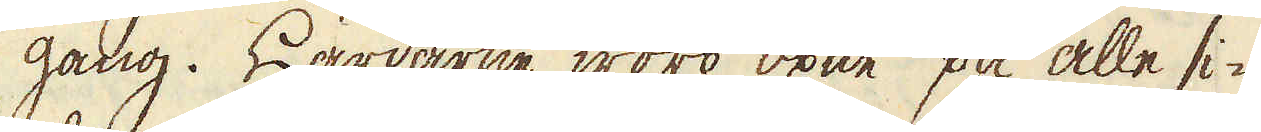gång. Härdarne woro öpne på alle si-
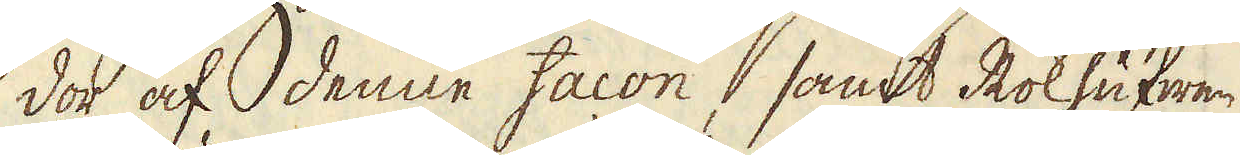dor af denne facon, samt Rökhufwen
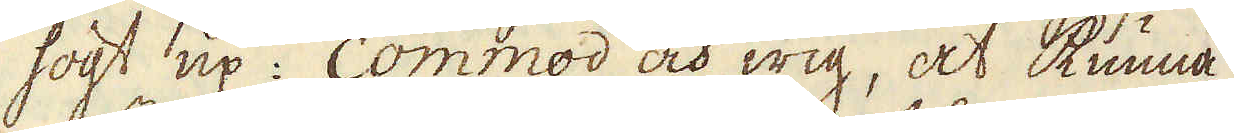högst up: commod och wig, at kunna
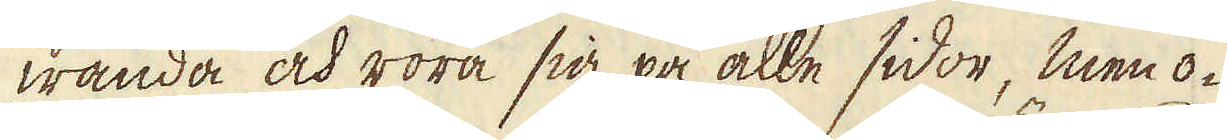wända och röra sig på alle sidor, men o-
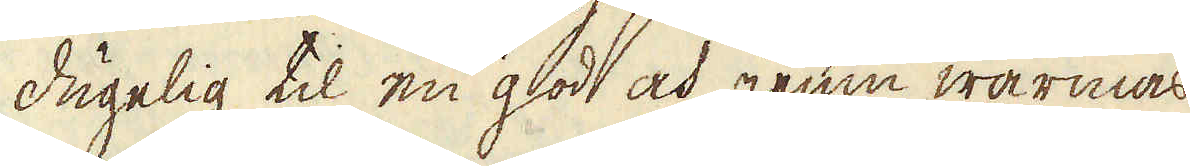dugelig til en god och jemn wärmas
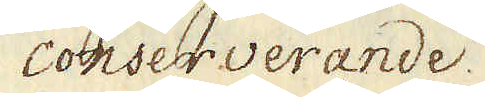conserverande.
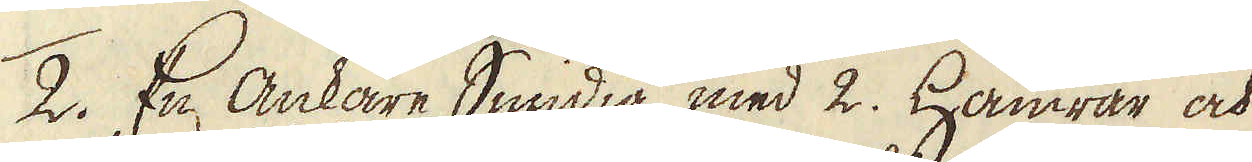2: En Ankare Smidia med 2. Hamrar och
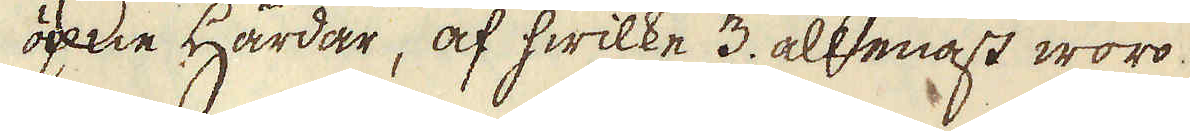öpne härdar, af hwilke 3. allenast woro
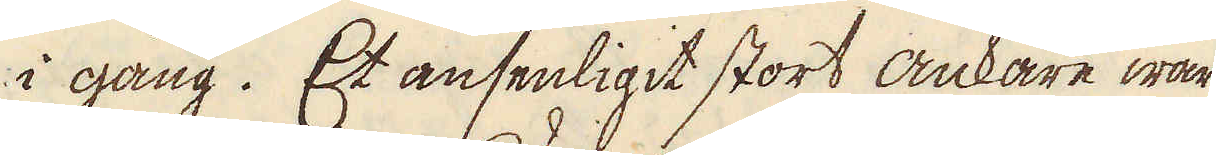i gång. Et ansenligit stort Ankare war
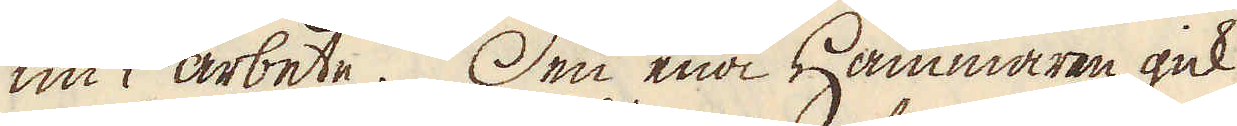nu i Arbete. Den ena Hammaren gick
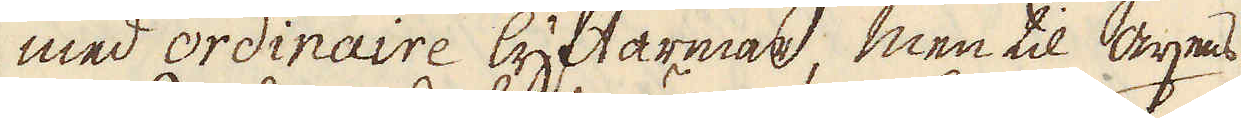med ordinaire lyftarmar, men til axens
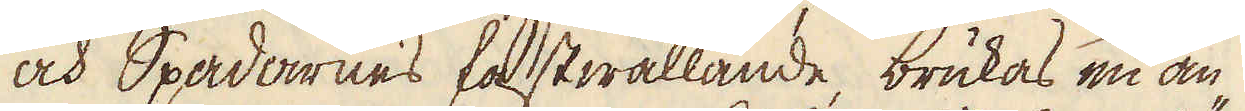och Spadarnes fastwällande, brukas en an-
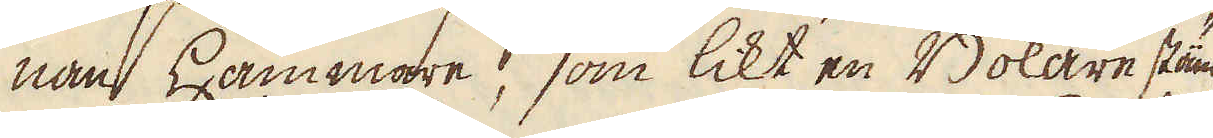nan hammare, som likt en Bokare stäm-
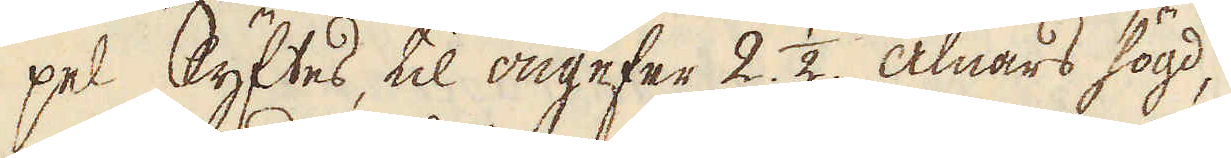pel lyftes, til ongefär 2. 1/2 alnars högd,
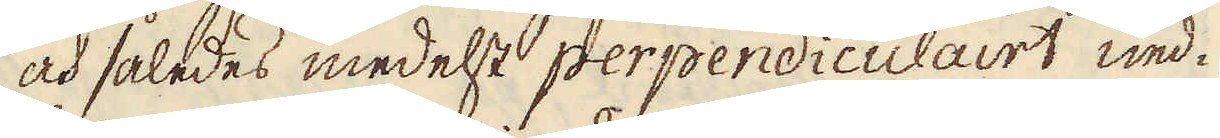och således medelst perpendiculairt ned-
